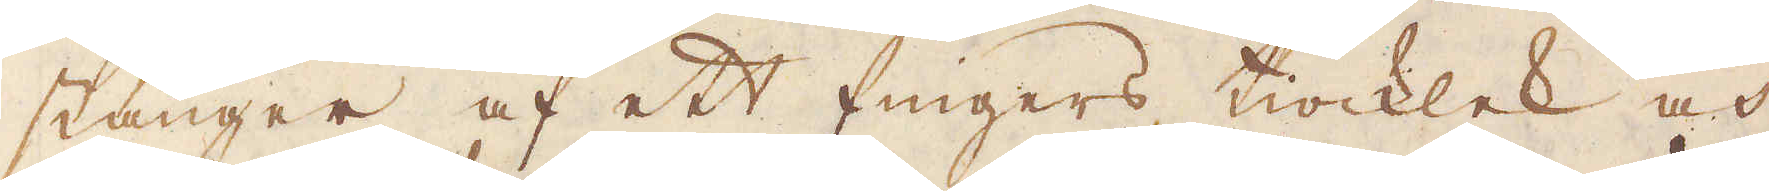stänger af ett fingers tiocklek och
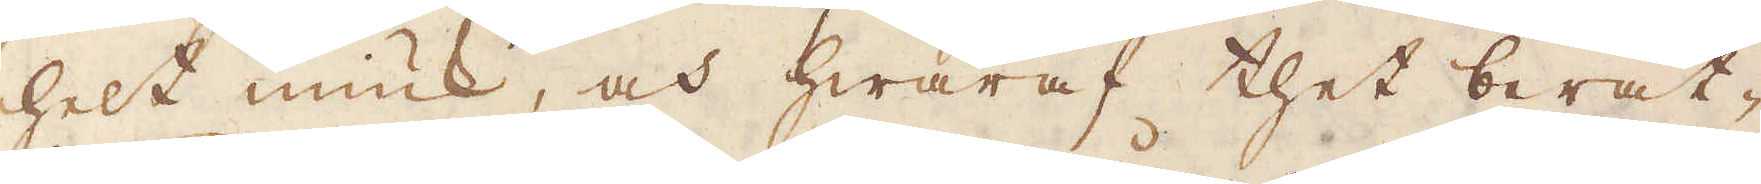helt miuk, och hwaraf thet berät-
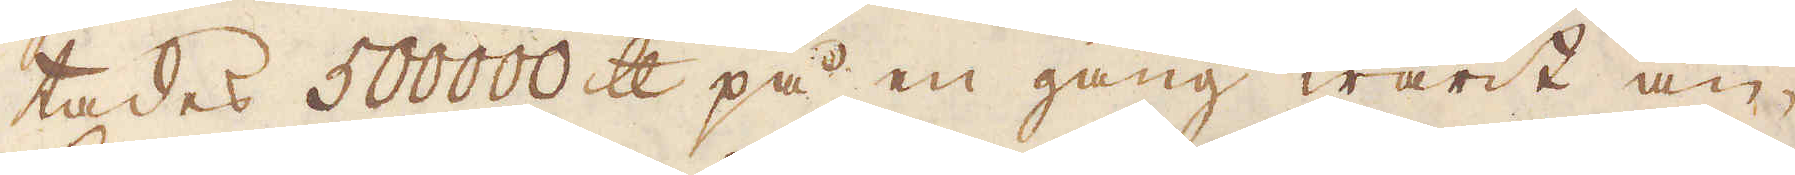tades 500000 skålpund på en gång warit an-
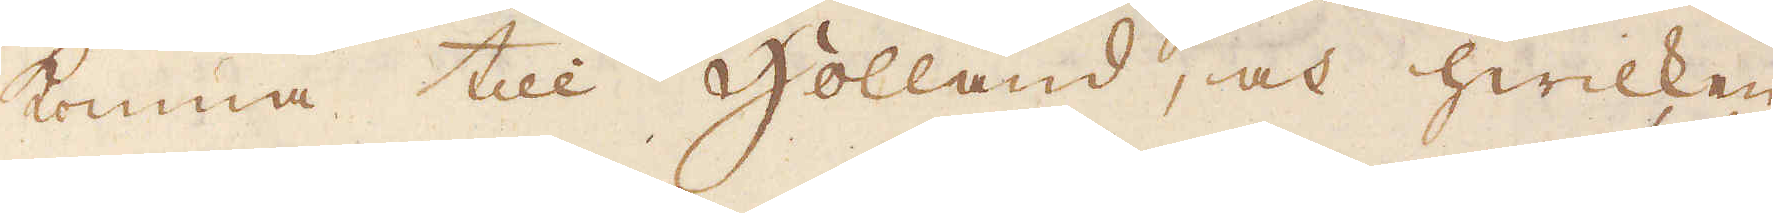komna till Holland, och hwilken
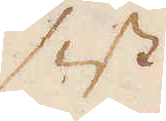sist
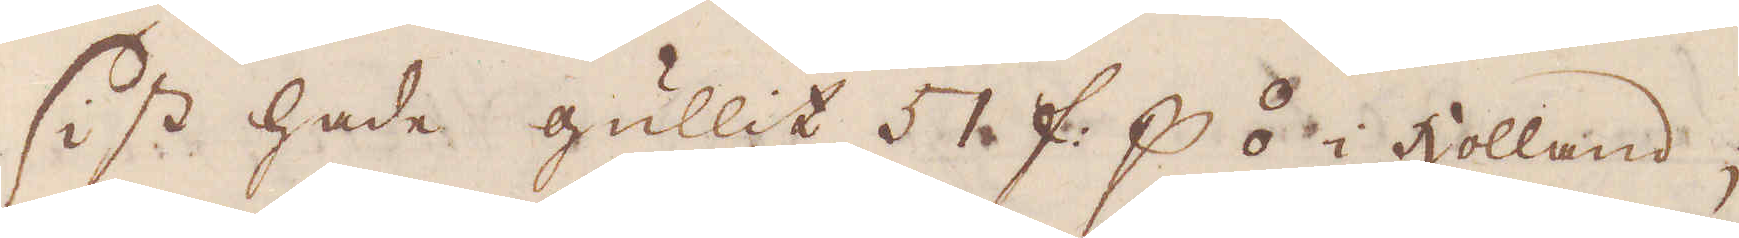sist hade gullit  ƒ: p⦂ i Holland;
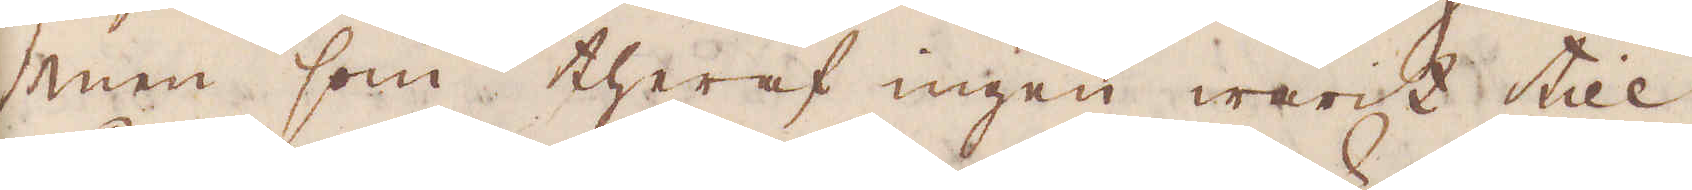men som theraf ingen warit till
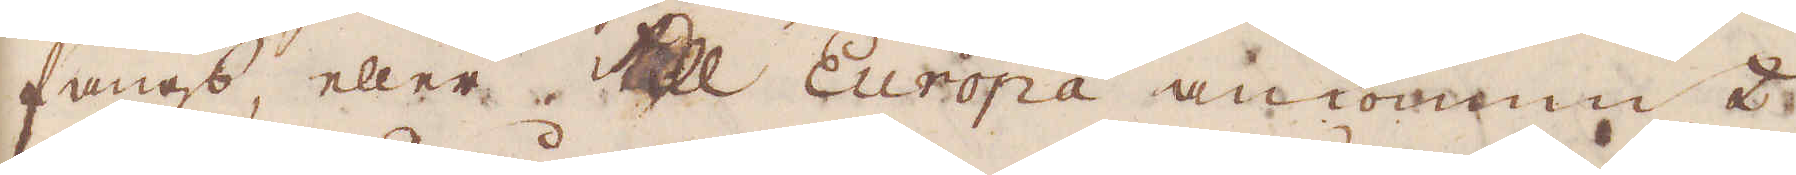fångs, eller till Europa ankommit
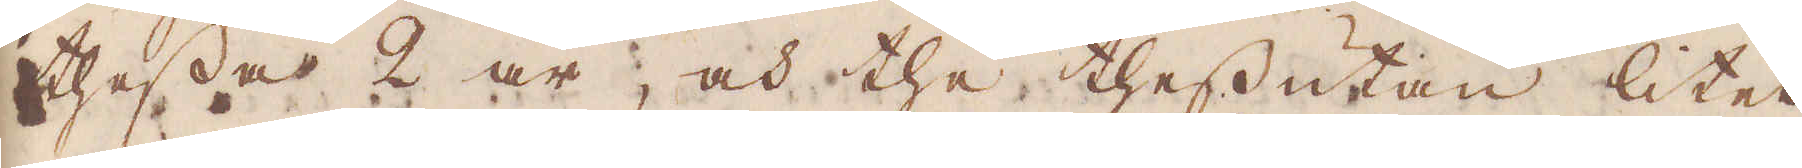thessa 2 år, och the thessutan litet
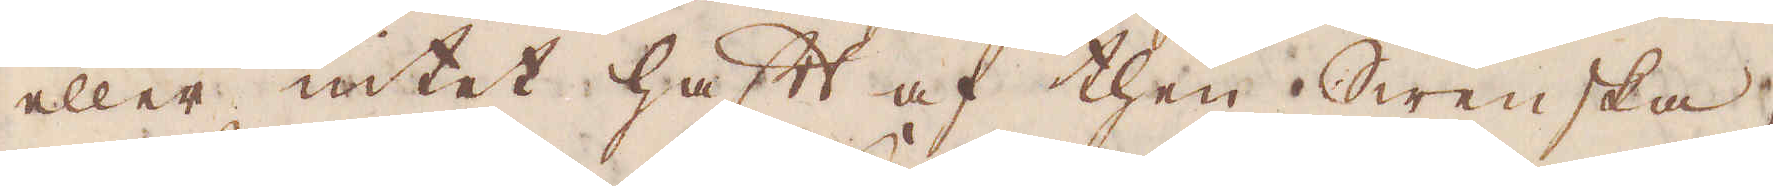eller intet haft af then Swenska,
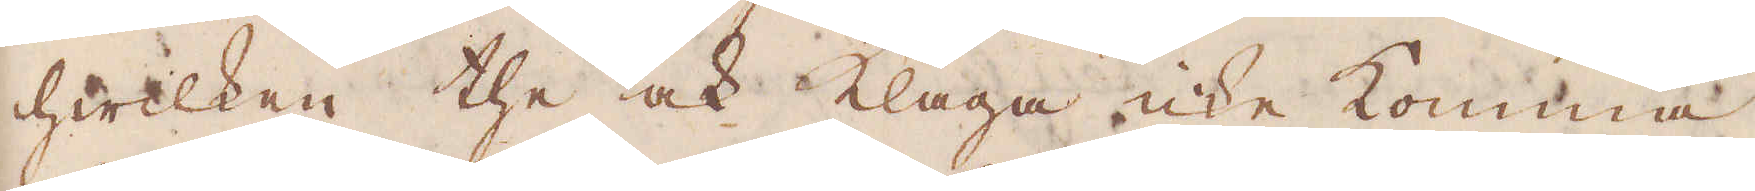hwilken the ock klaga icke komma
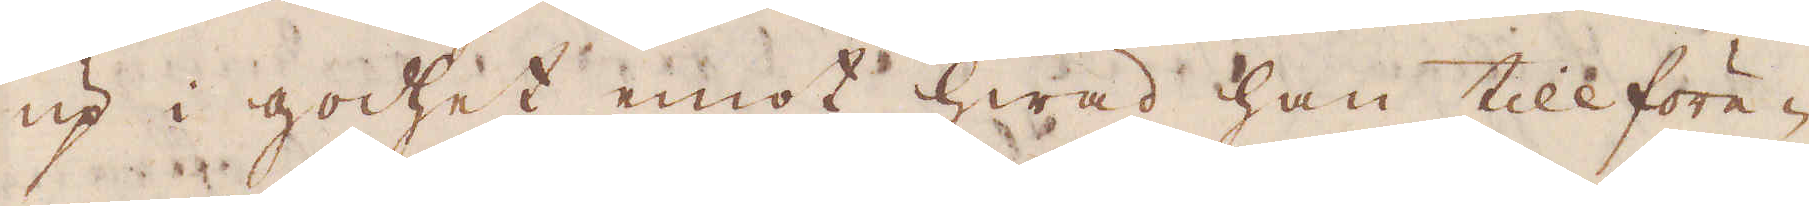up i godhet emot hwad han tillföre-
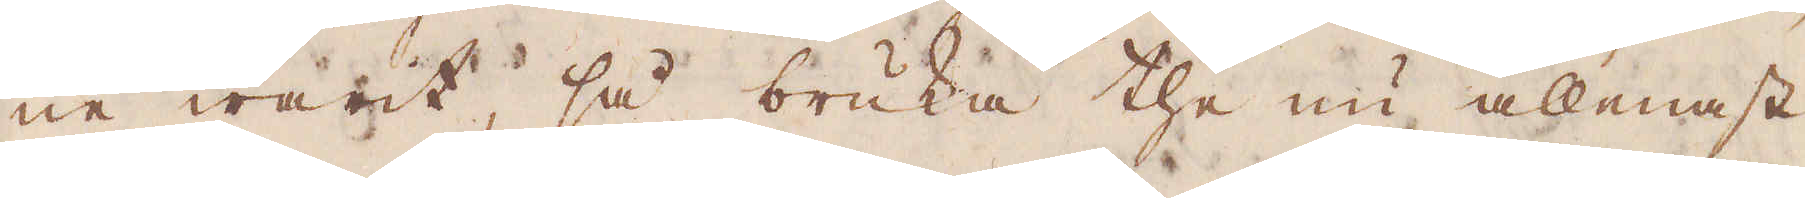ne warit, så bruka the nu allenast
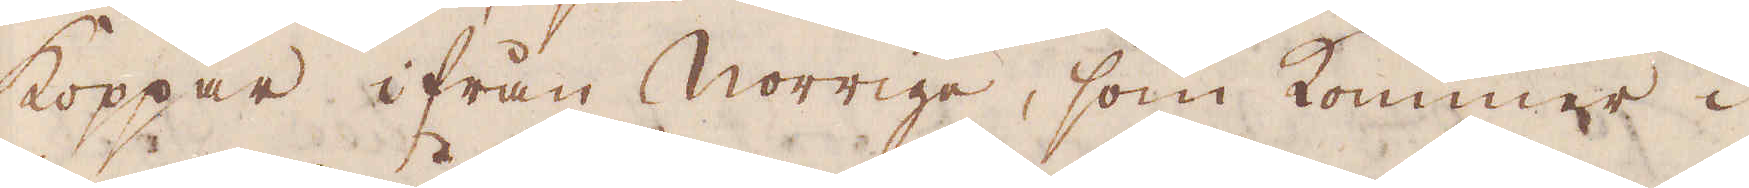Koppar ifrån Norrige, som kommer i
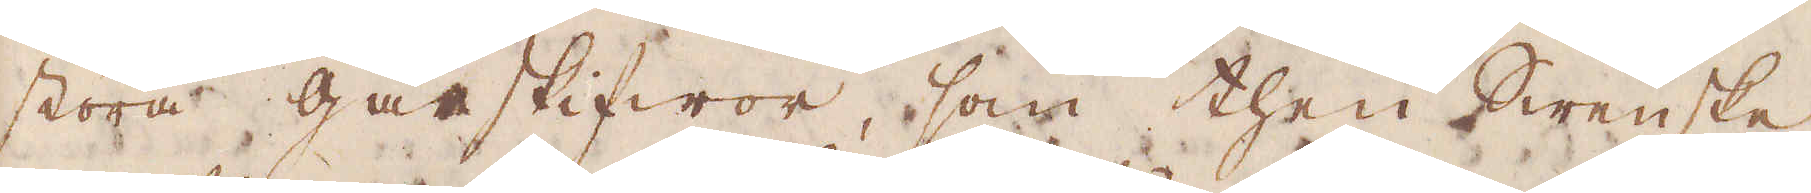stora gårskifwor, som then Swenske,
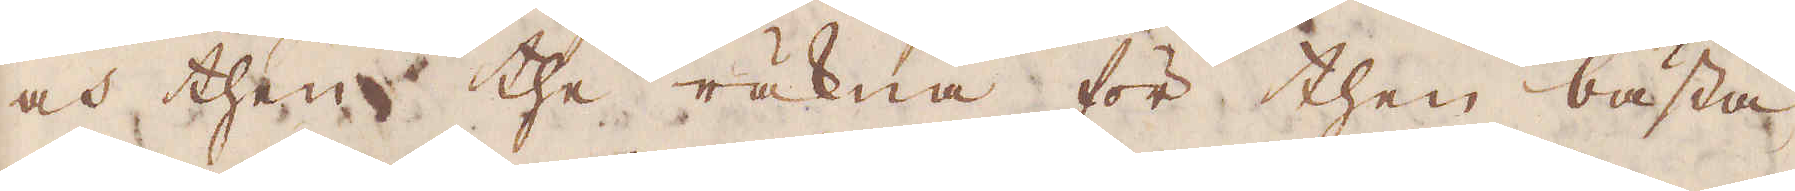och then the räkna för then bästa.
